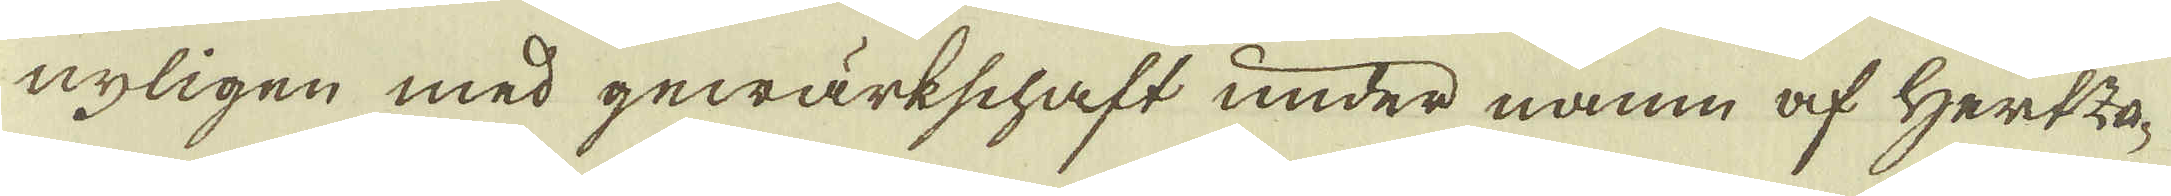nyligen med gewärkschaft under namn af Hertzo-
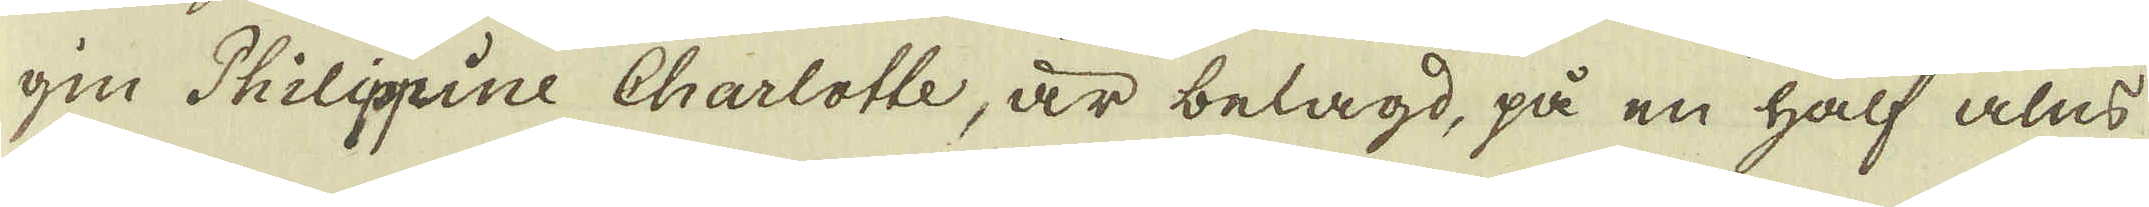gin Philippine Charlotte, är belagd, på en half alns
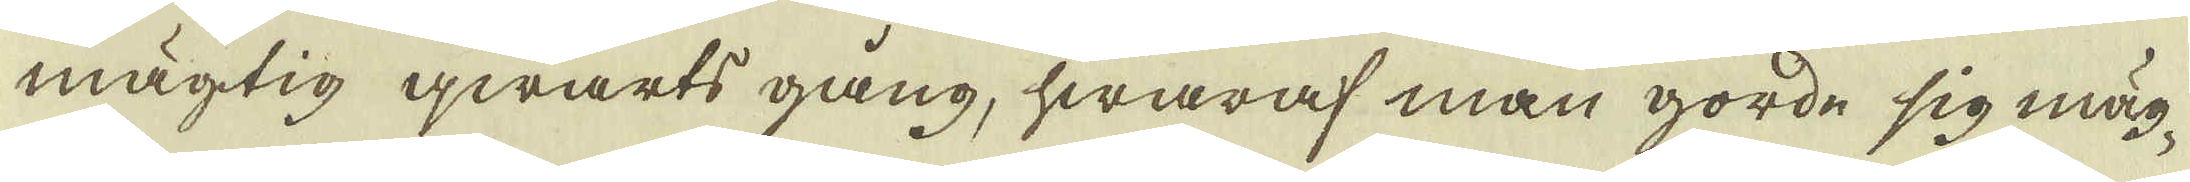mägtig qwarts gång, hwaraf man gorde sig mäg-
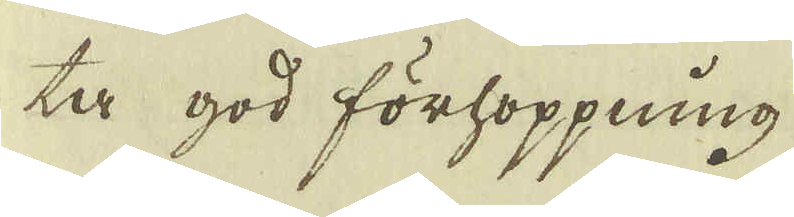ta god förhoppning
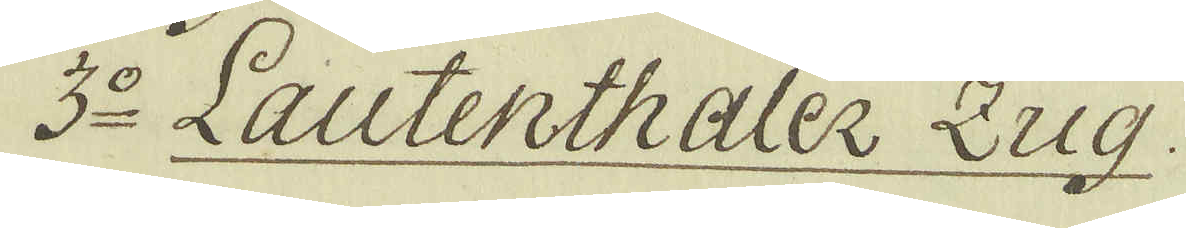3:o Lautenthaler Zug.
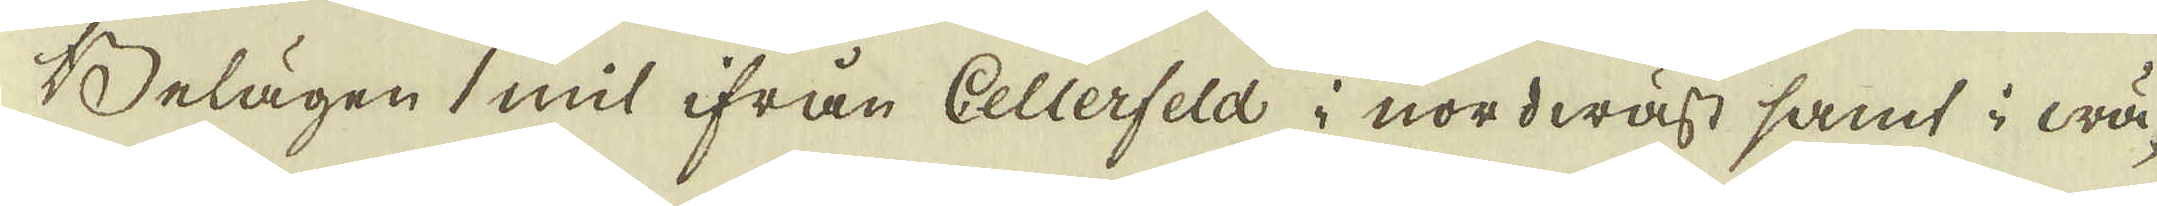Belägen 1 mil ifrån Cellerfeld i nordwäst samt i wä-
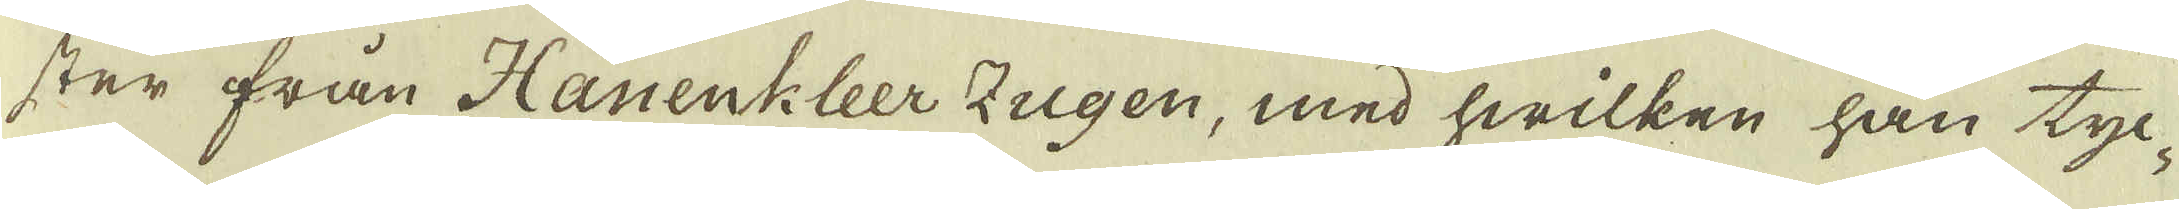ster från Hanenkleer Zugen, med hwilken han tyc-
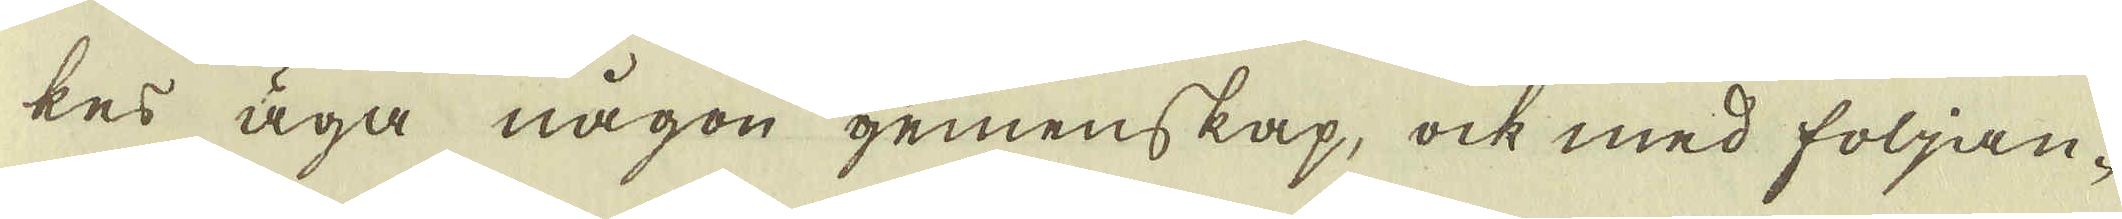kes äga någon gemenskap, ock med följan-
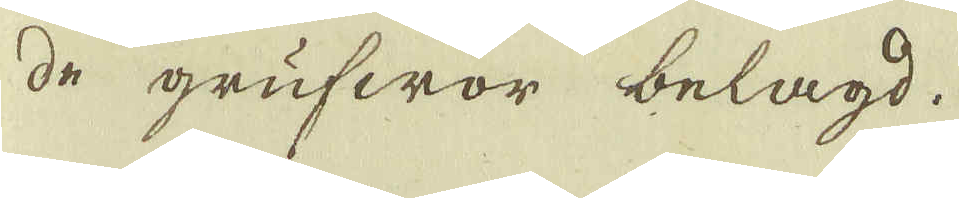de grufwor belagd.
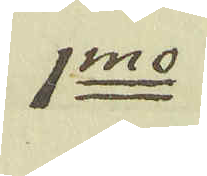1:mo
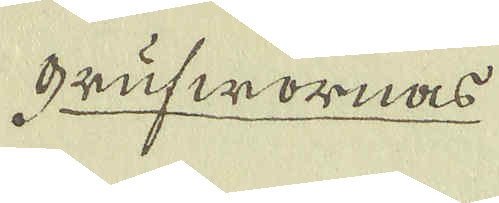grufwornas
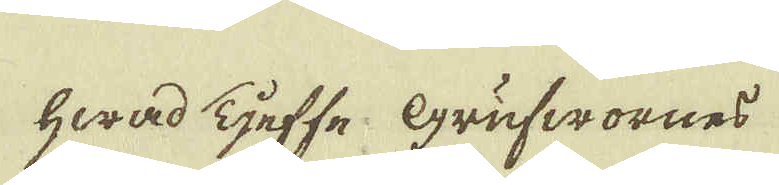hwad Tjeffe. Grufwornes
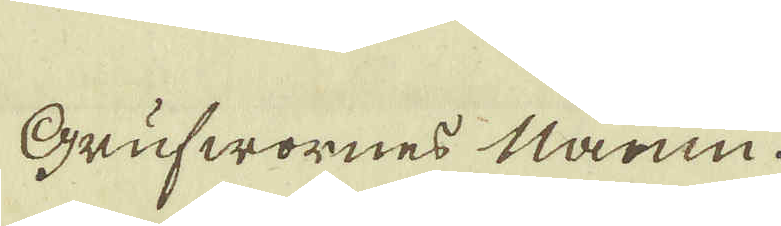Grufwornes Namn.
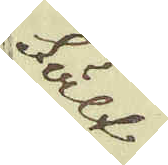Fält
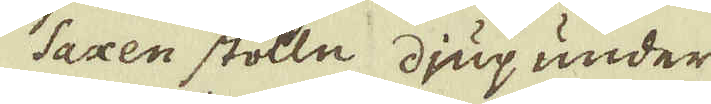Saxen stolln djup under
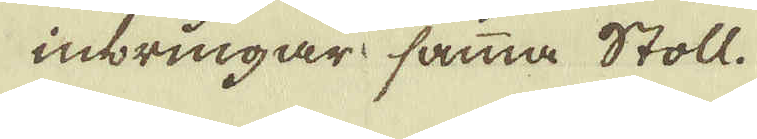inbringar samma Stoll.
